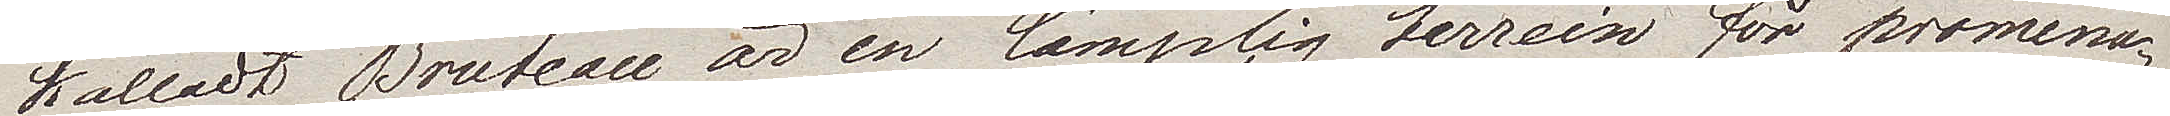kalladt Bruteau är en lämplig terrein för promena¬
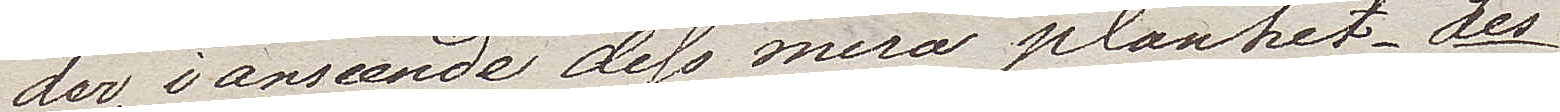der, i avseeende dess mera planhet. Les
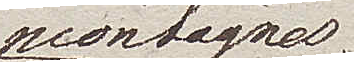montagnes
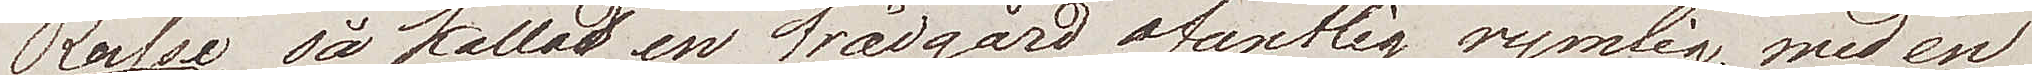Russes, så kallad en trädgård ofantlig rymlig, med en
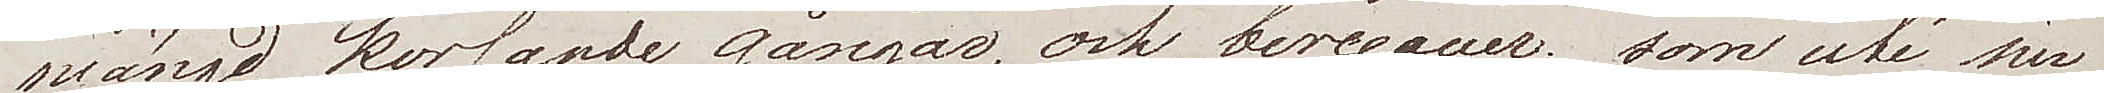mängd korsande gångar, och berceauer, som uti sin
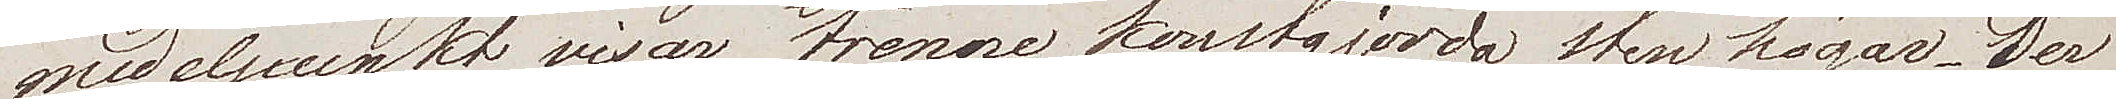medelpunkt visar trenne konstgjorda stenhögar. Der
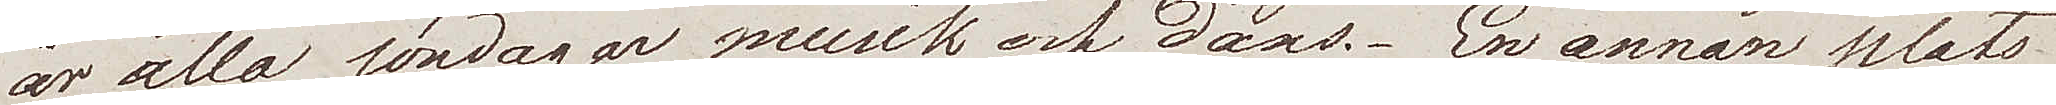är alla söndagar musik och dans. En annan plats
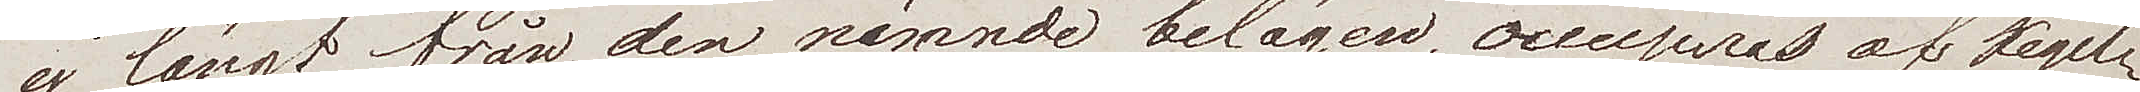ej långt från den nämnde belägen, occuperas av kegel¬
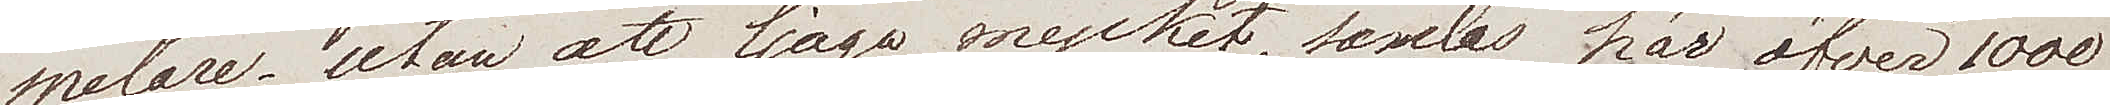spelare; utan att ljuga mycket samlas här öfver 1000
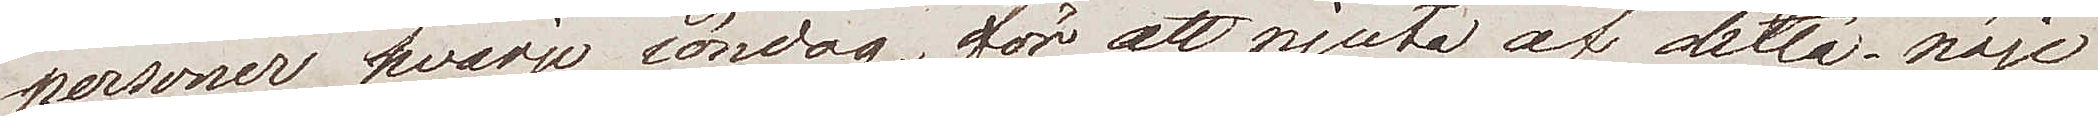personer hvarje söndag för att njuta af detta nöje
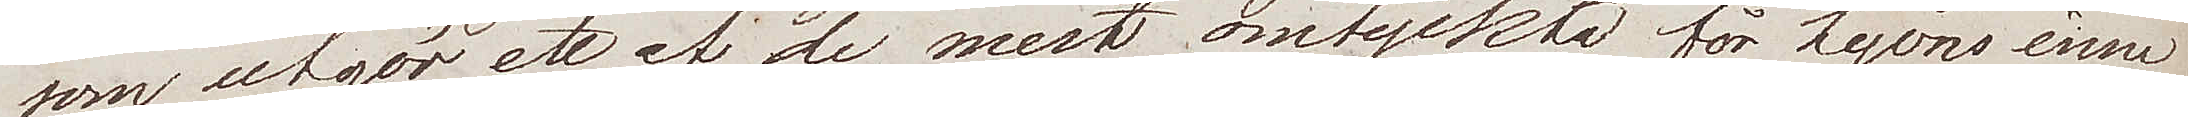som utgör ett af de mest omtyckta för Lyons inne¬
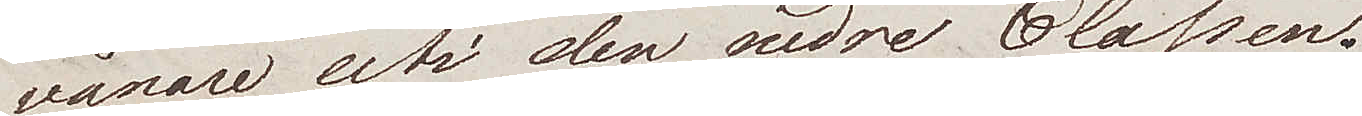vånare uti den undre classen.
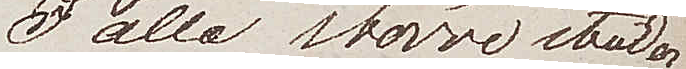I alla större städer
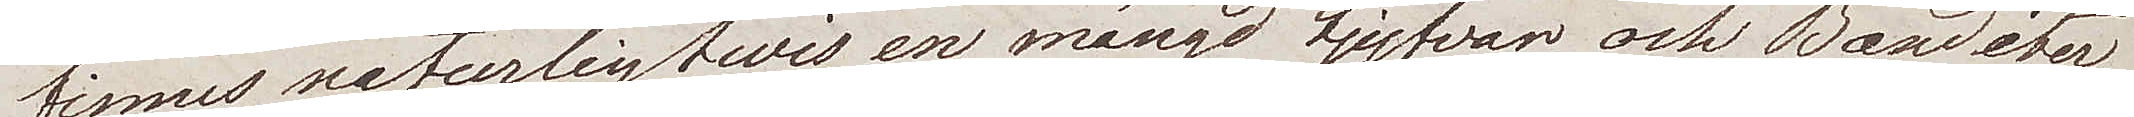finns naturligtvis en mängd tjufvar och Banditer,
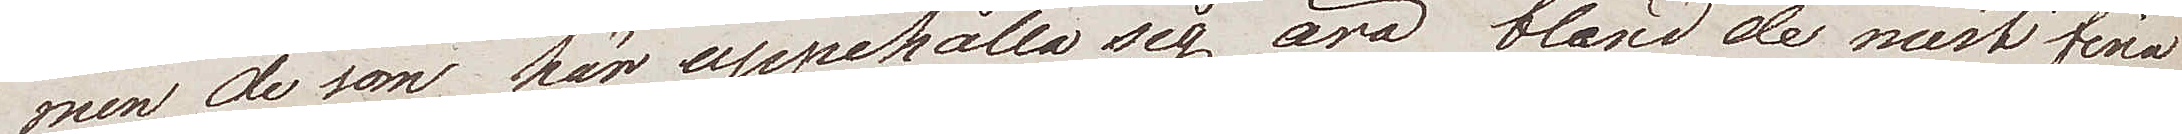men de som här uppehålla sig äro bland de mest fina
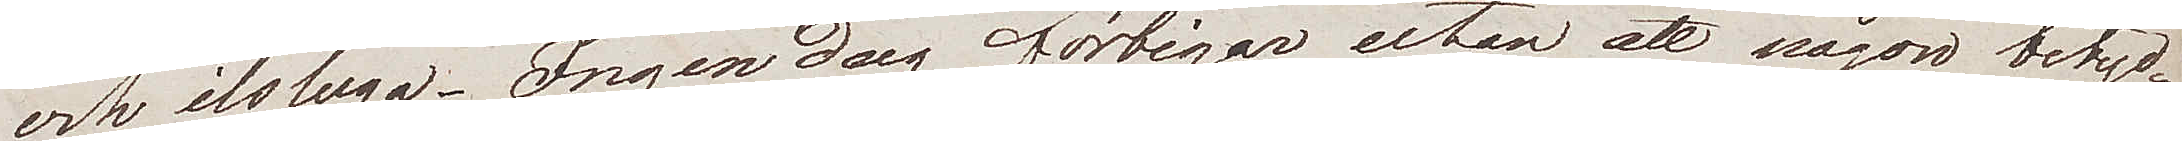och ilsluga. Ingen dag förbigår utan att någon betyd¬
